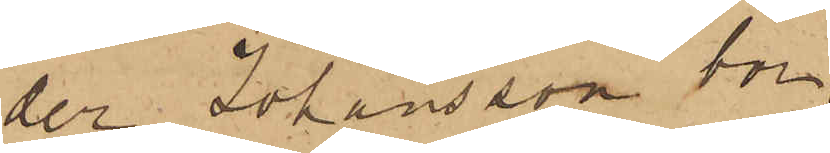der Johansson bor,
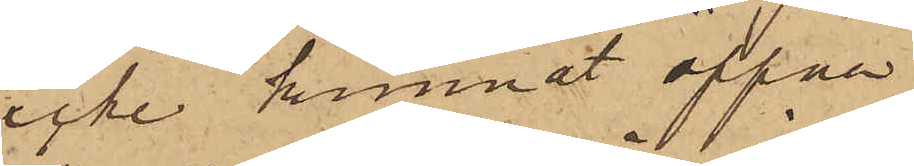icke kunnat öppna
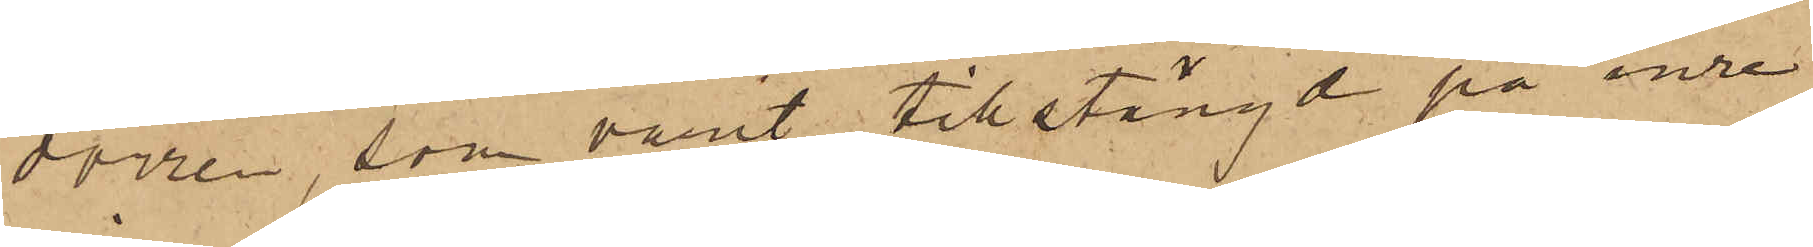dörren, som varit tillstängd på inre
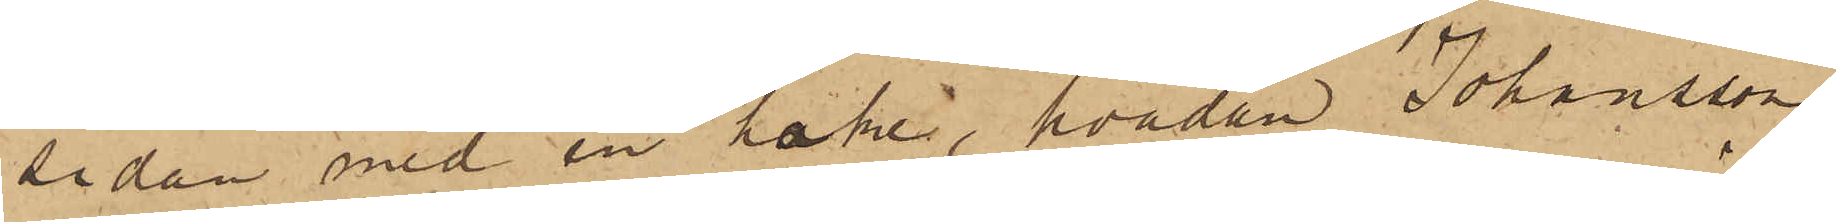sidan med en hake, hvadan Johansson
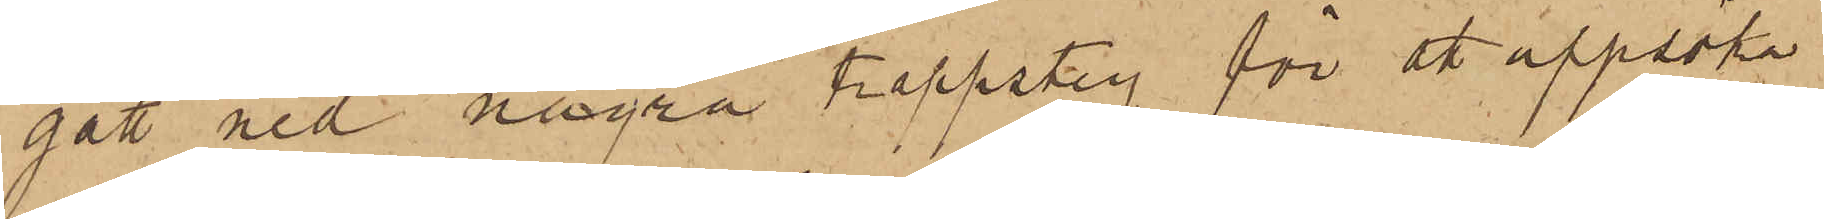gått ned några trappsteg för åt uppsöka
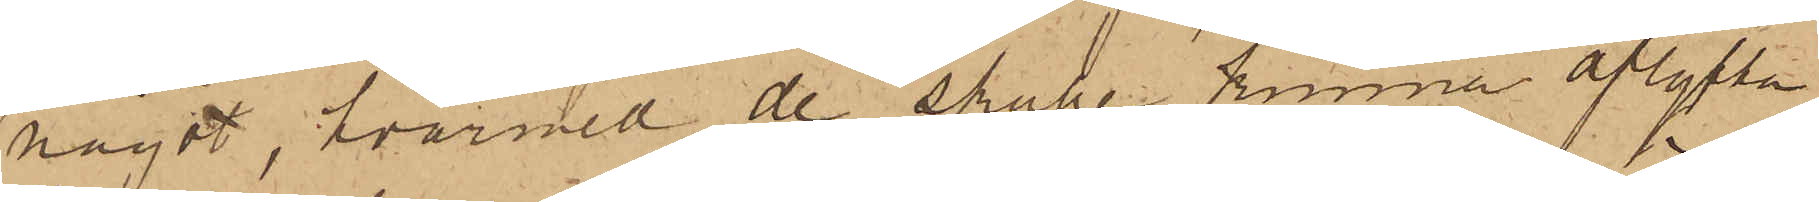något, hvarmed de skulle kunna aflyfta
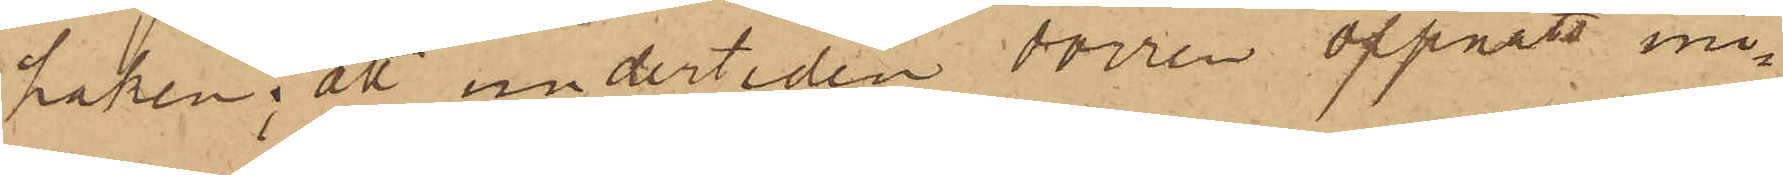haken; att under tiden dörren öppnats ini¬
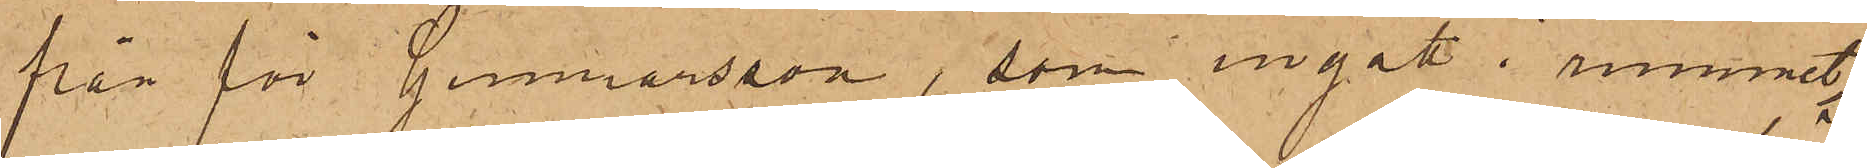från för Gunnarsson, som ingått i rummet;
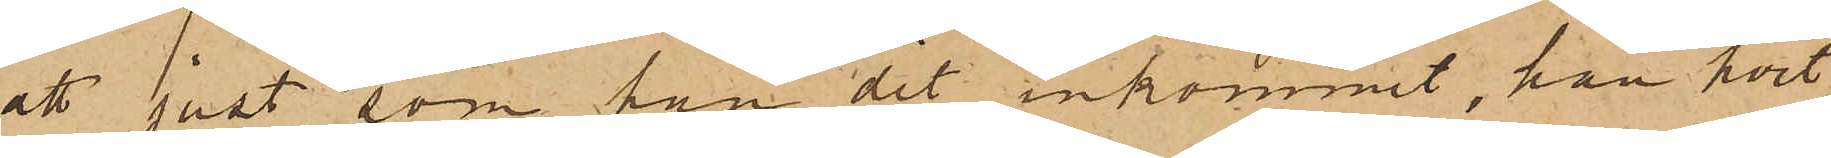att just, som han dit inkommit, han hört
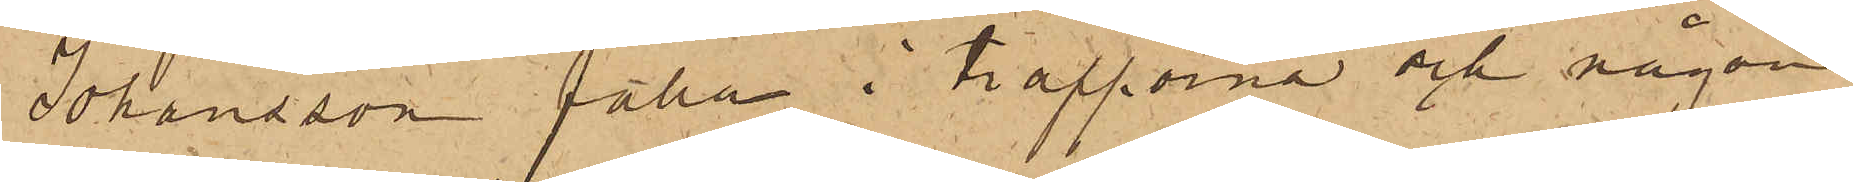Johansson falla i trapporna och någon
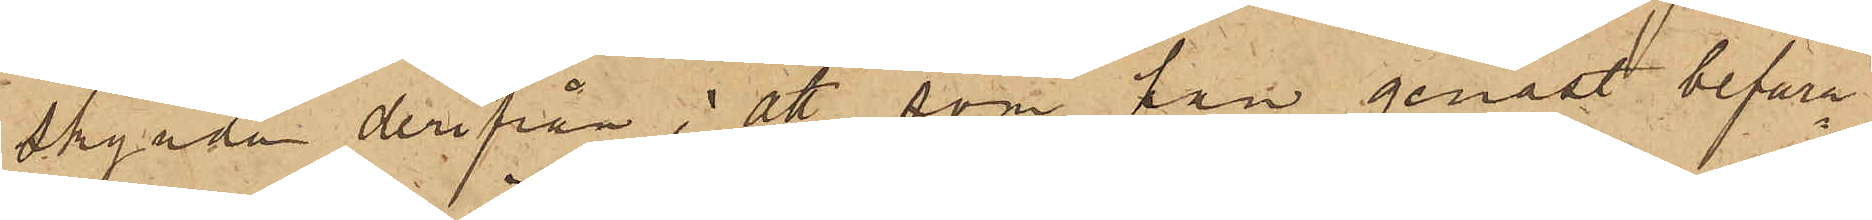skynda derifrån; att som han genast befara¬
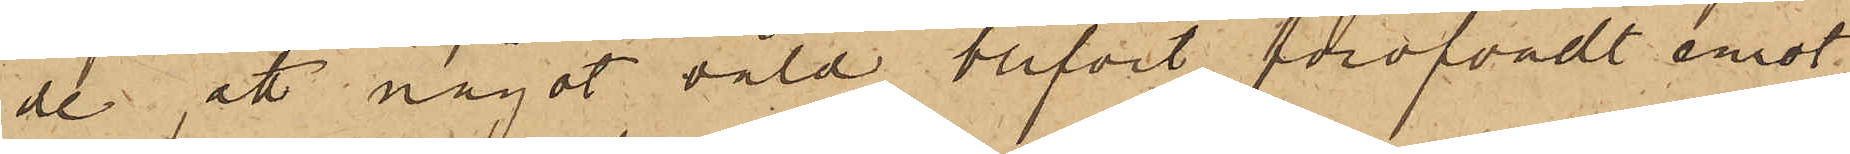de, att något våld blifvit föröfvadt emot
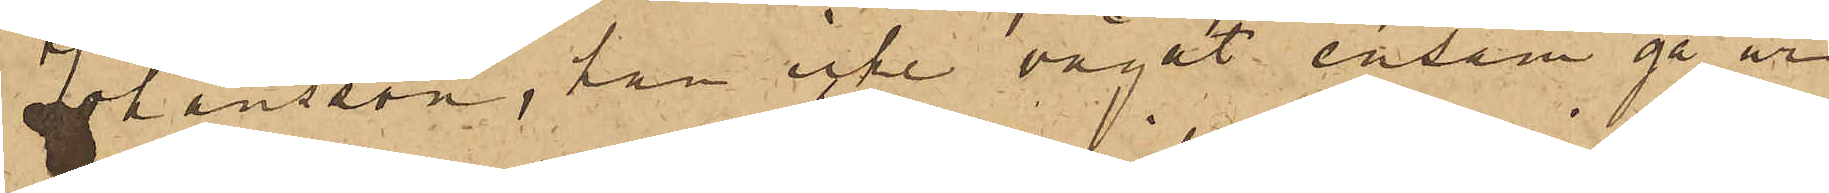Johansson, han icke vågat ensam gå ur
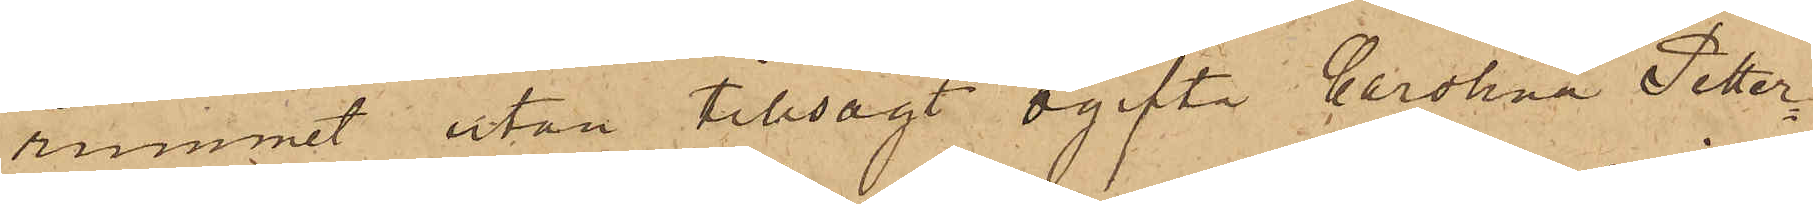rummet utan tillsagt ogifta Carolina Petter¬
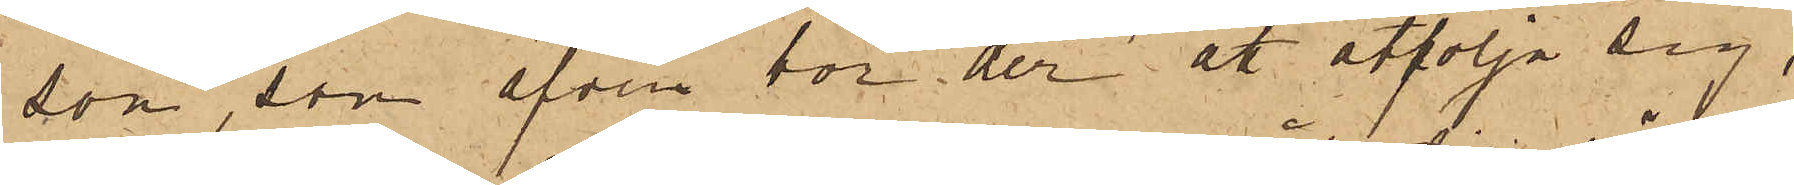son, som äfven bor der att åtfölja sig,
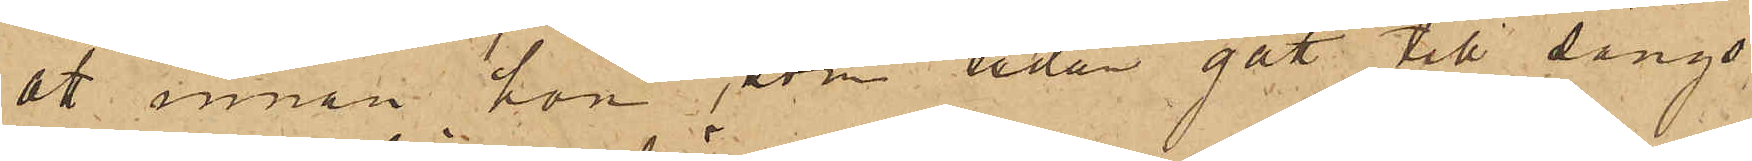att innan hon, som redan gått till sängs
